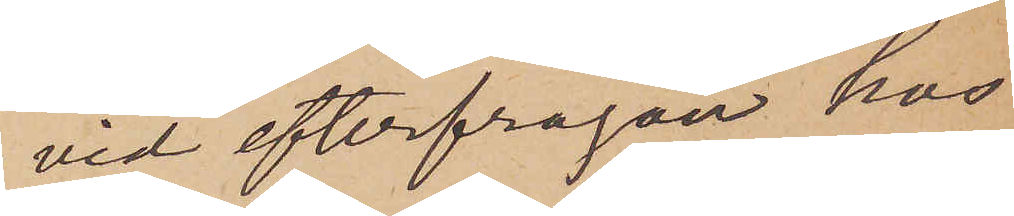vid efterfrågan hos
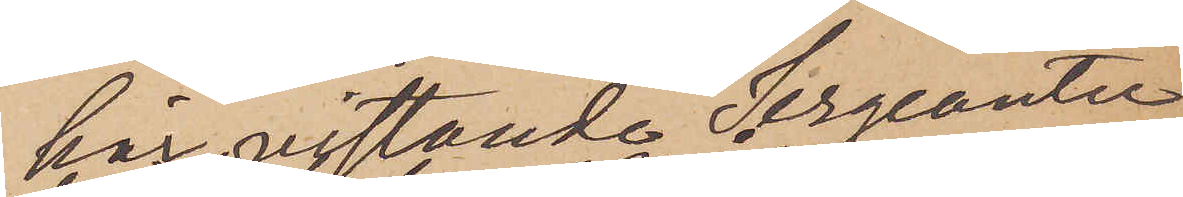här vistande Sergeanter
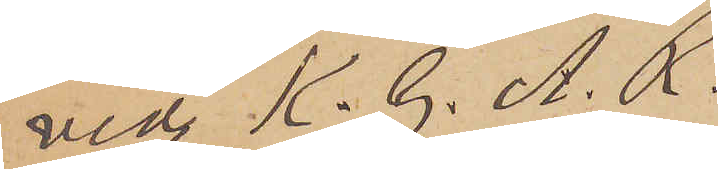vid K. G. A. R.
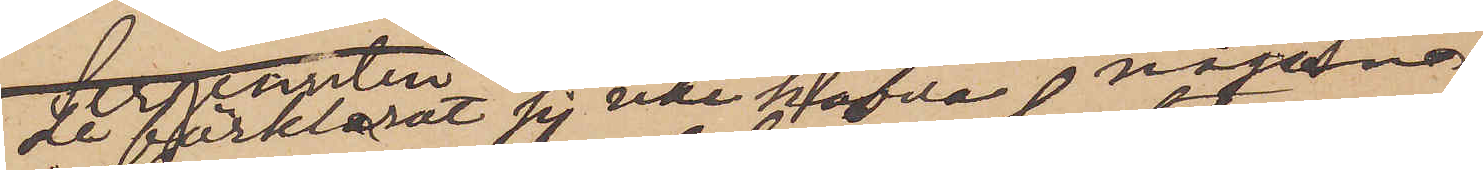de förklarat sig icke hafva någon
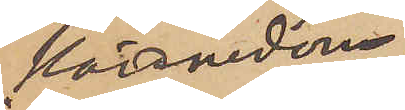kännedom
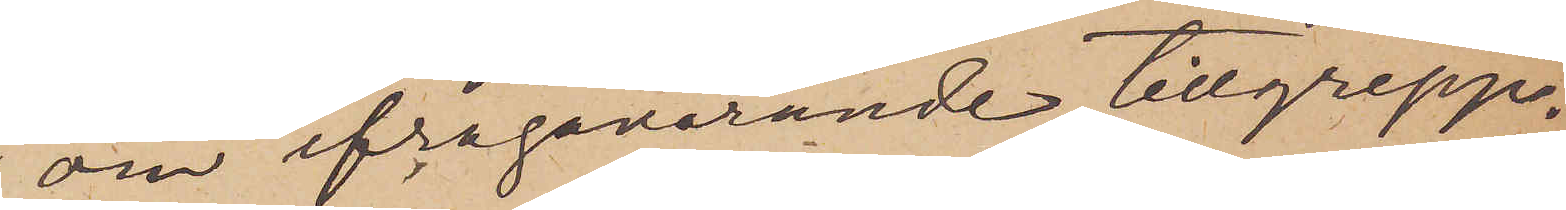om ifrågavarande tillgrepp.
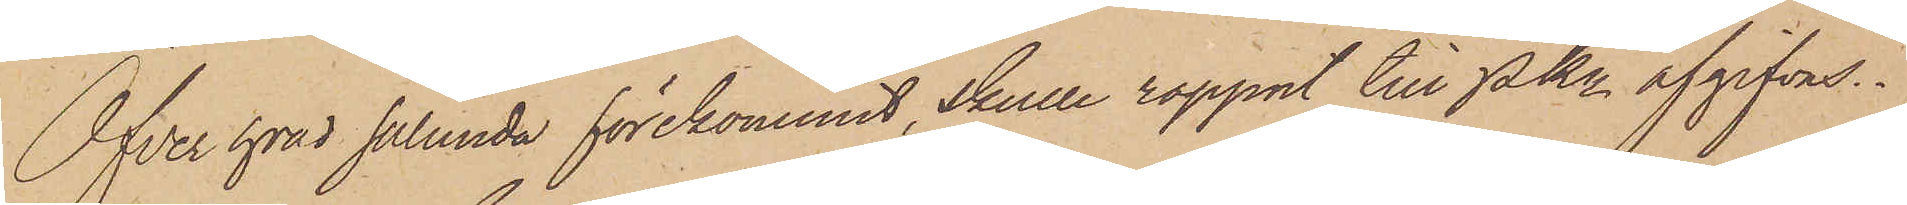Öfver hvad sålunda förekommit, skulle rapport till Pkn afgifvas.
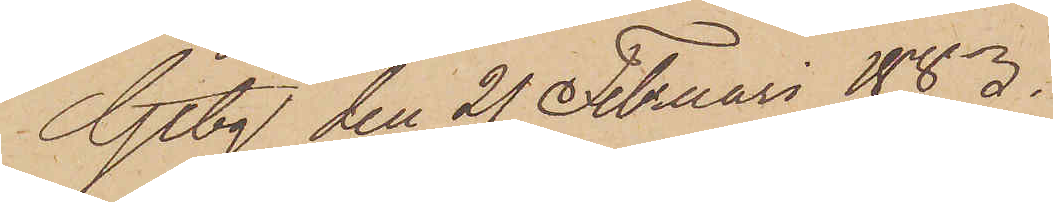Gtbg den 21 Februari 1883.
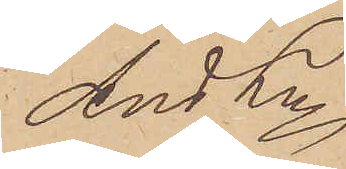And Ln
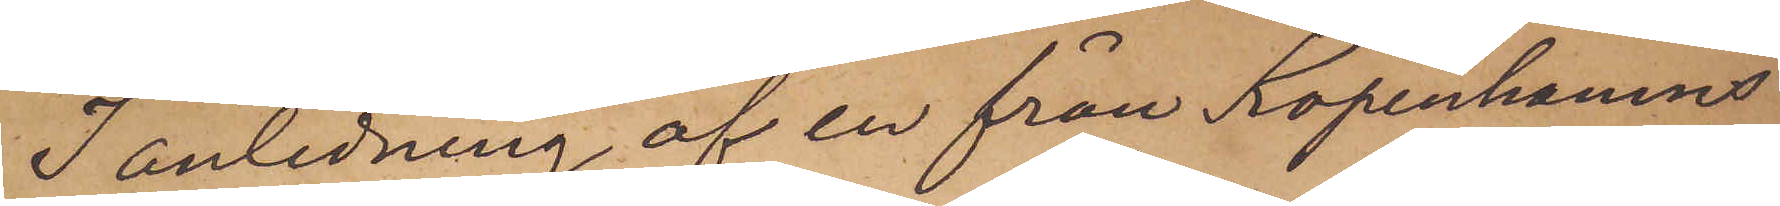I anledning af en från Köpenhamns
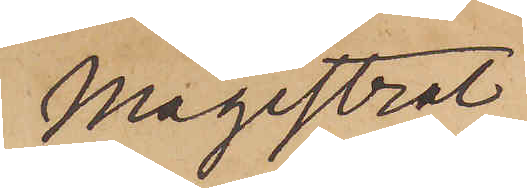Magistrat
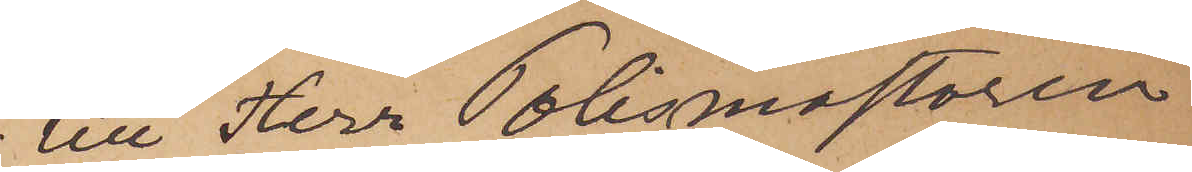till Herr Polismästaren
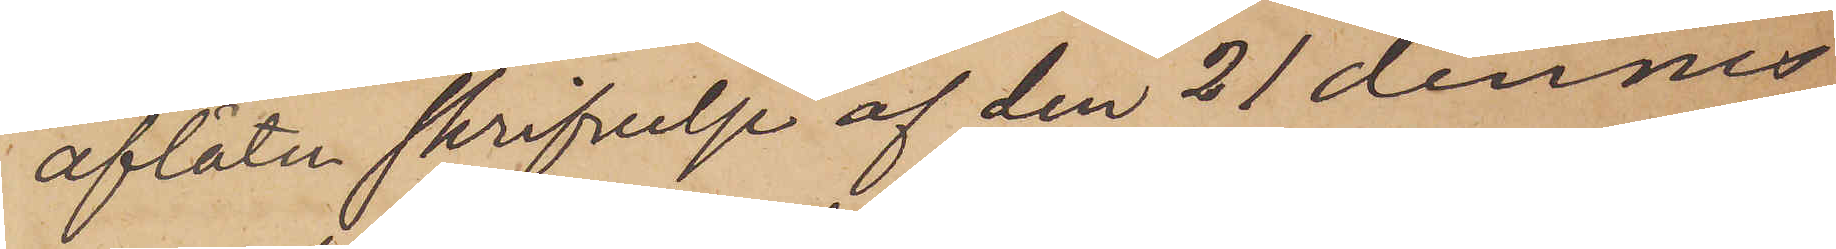aflåten skrifvelse af den 21 dennes
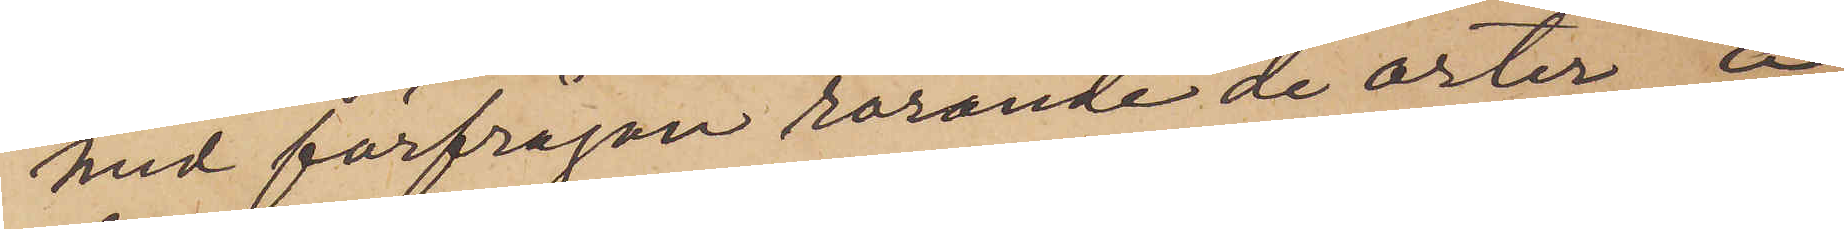med förfrågan rörande de orter, å
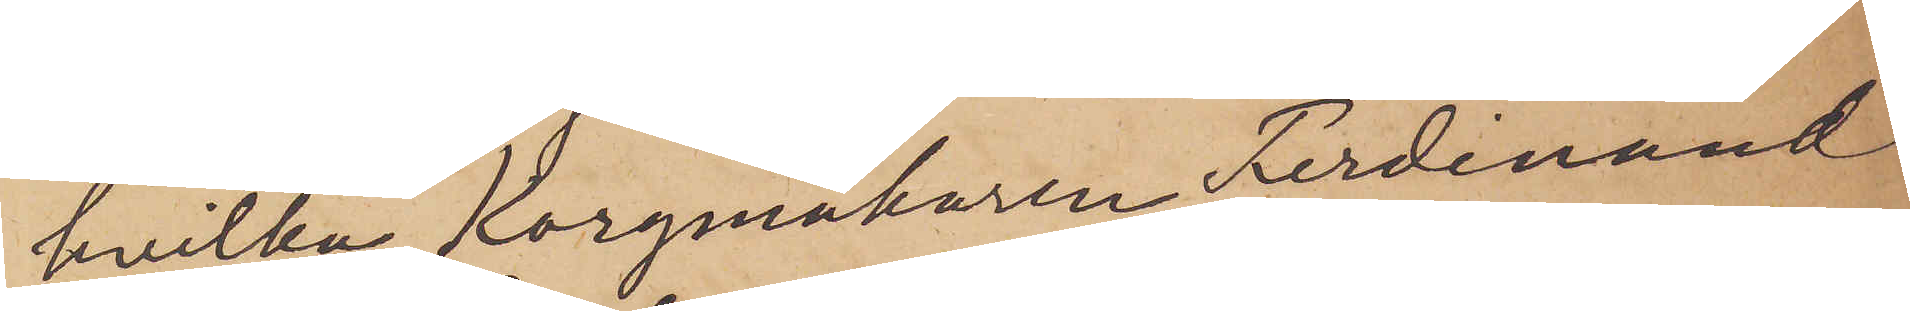hvilka Korgmakaren Ferdinand
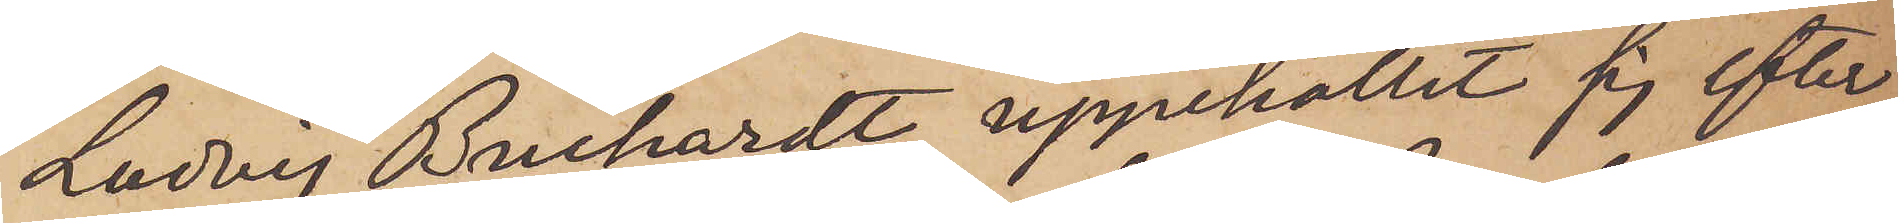Ludvig Buchardt uppehållit sig efter
